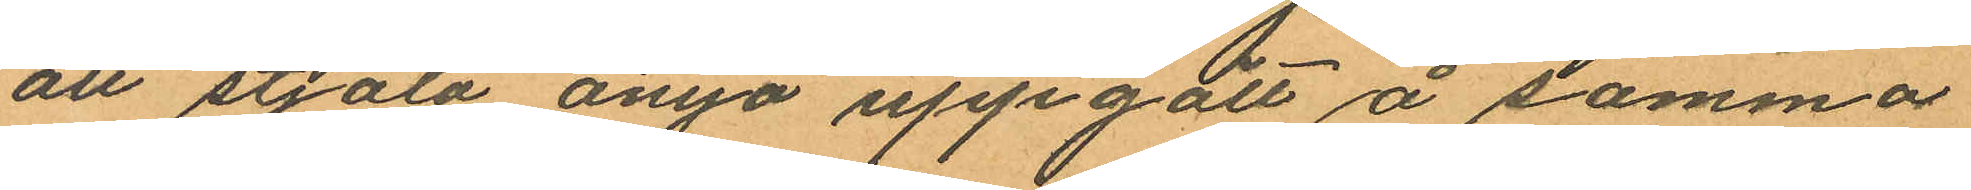att stjäla ånyo uppgått å samma
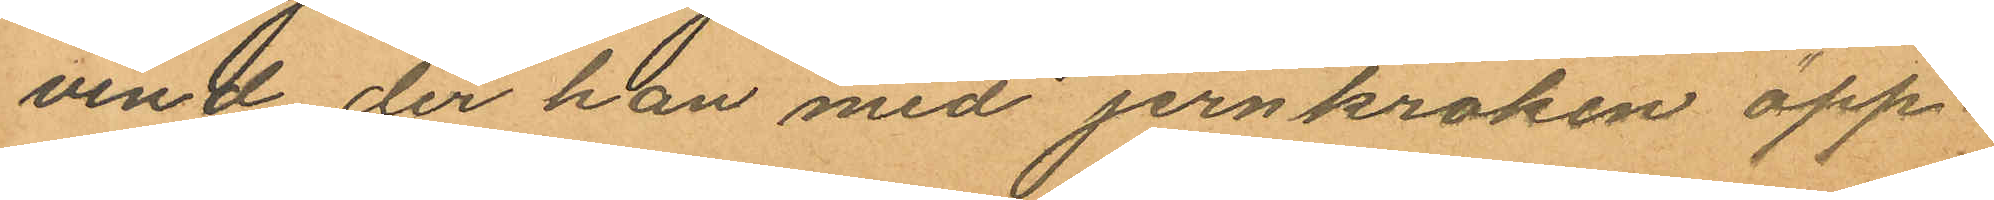vind der han med jernkroken öpp¬
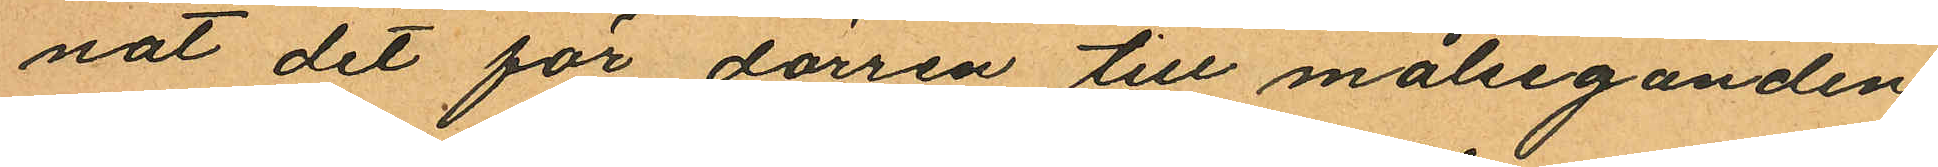nat det för dörren till målseganden
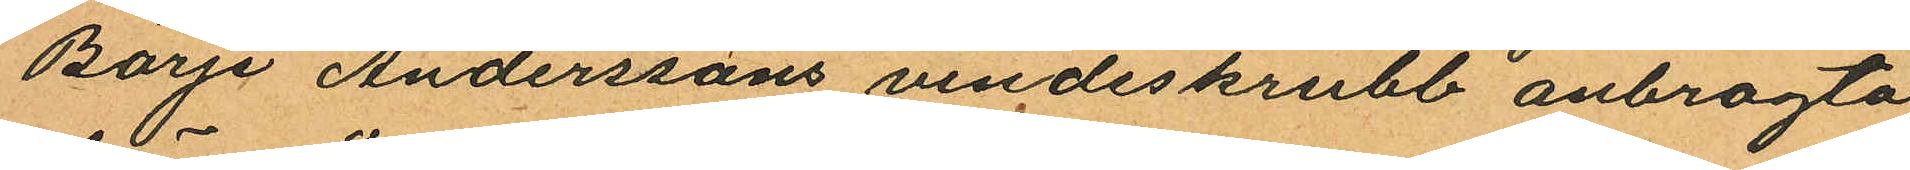Börje Anderssons vindsskrubb anbragta
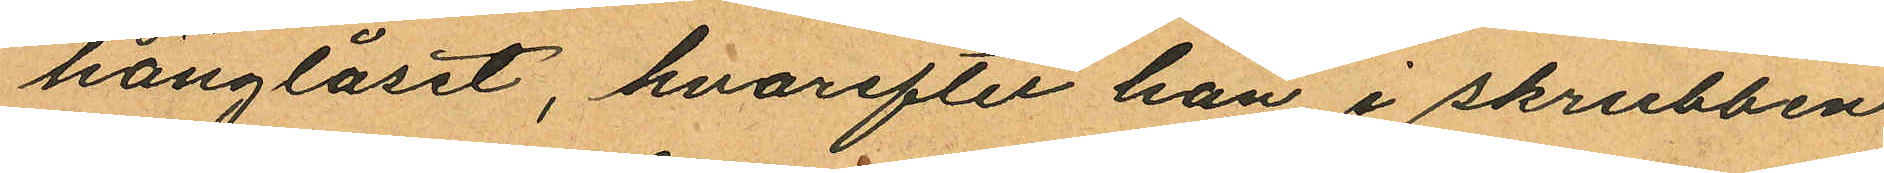hänglåset, hvarefter han i skrubben
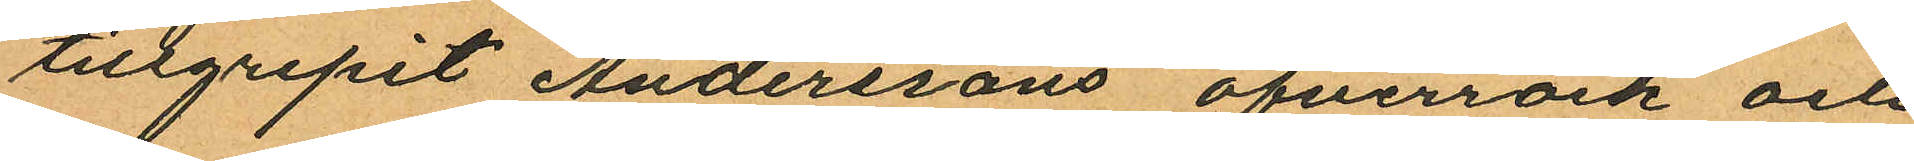tillgripit Anderssons öfverrock och
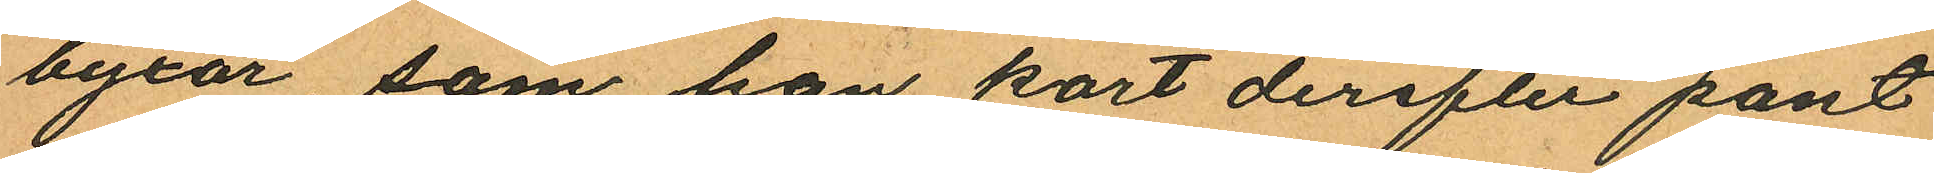byxor som han kort derefter pant
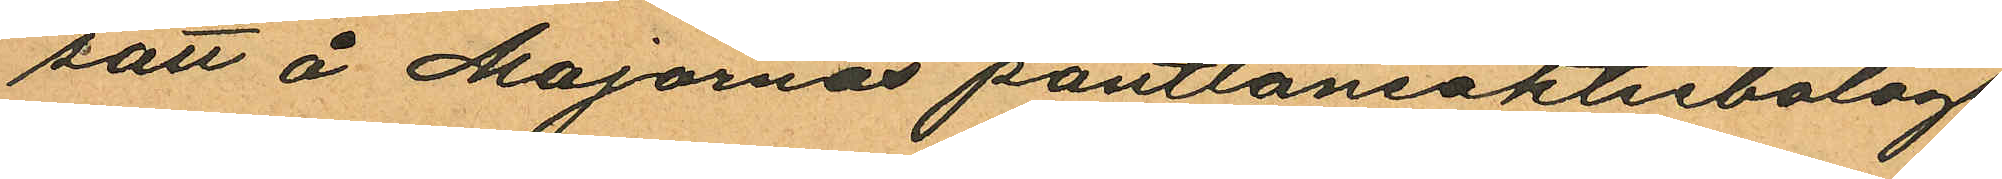sätt å Majornas pantlåneaktiebolags
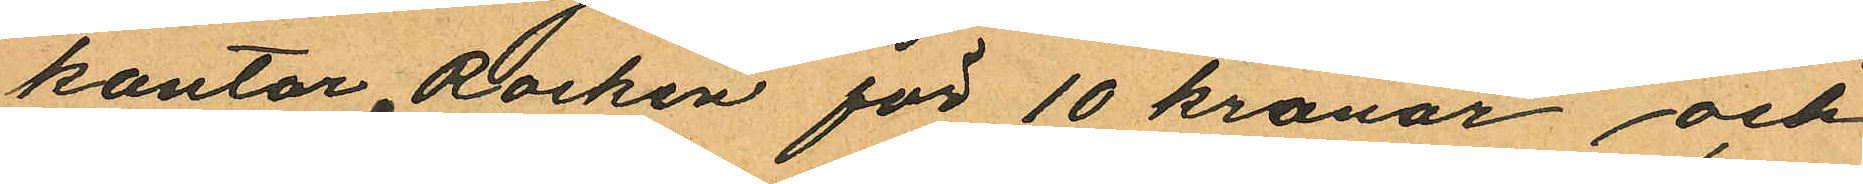kontor, Rocken för 10 kronor och
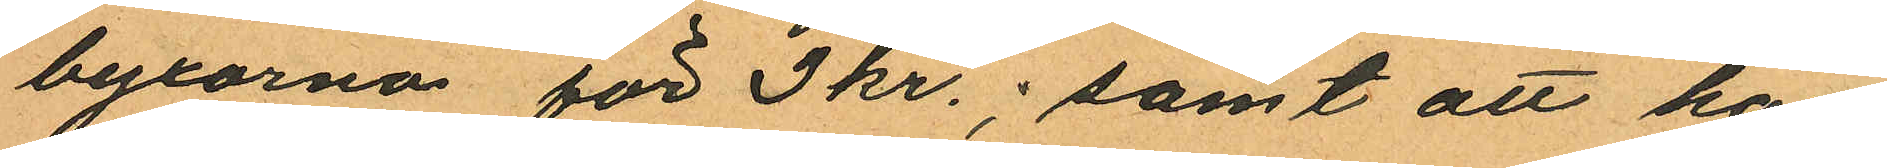byxorna för 3 kr.; samt att han
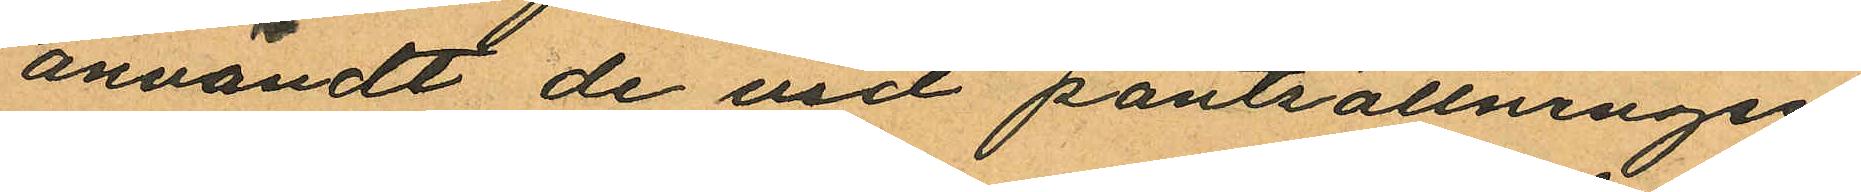användt de vid pantsättningen
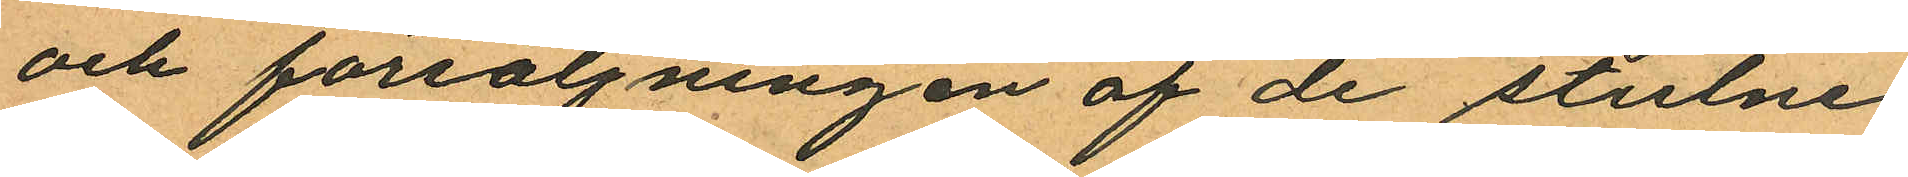och försäljningen af de stulne
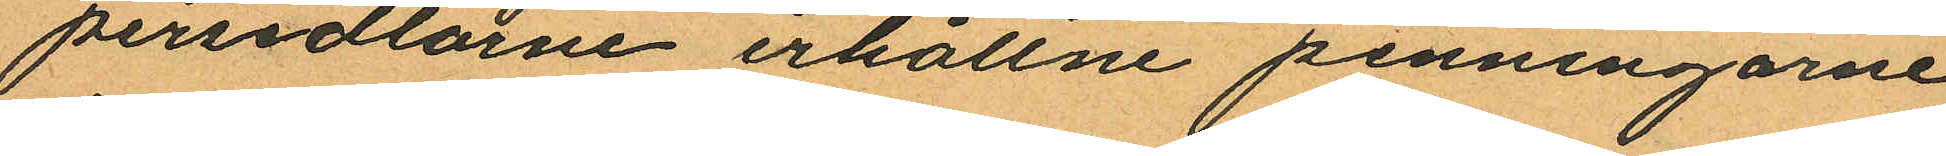persedlarne erhållne penningarne
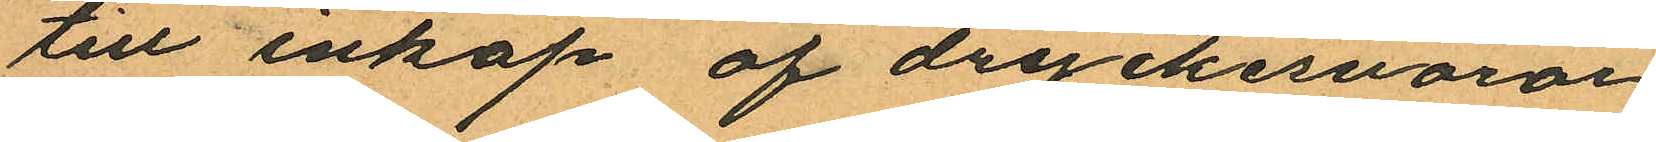till inköp af dryckesvaror
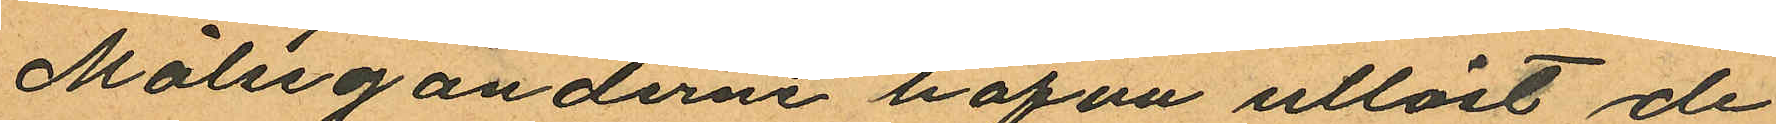Målseganderne hafva utlöst de
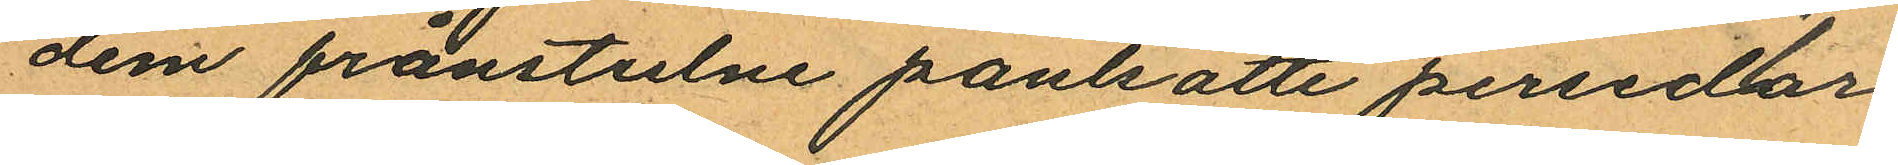dem frånstulne pantsatte persedar¬
